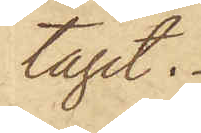tagit.
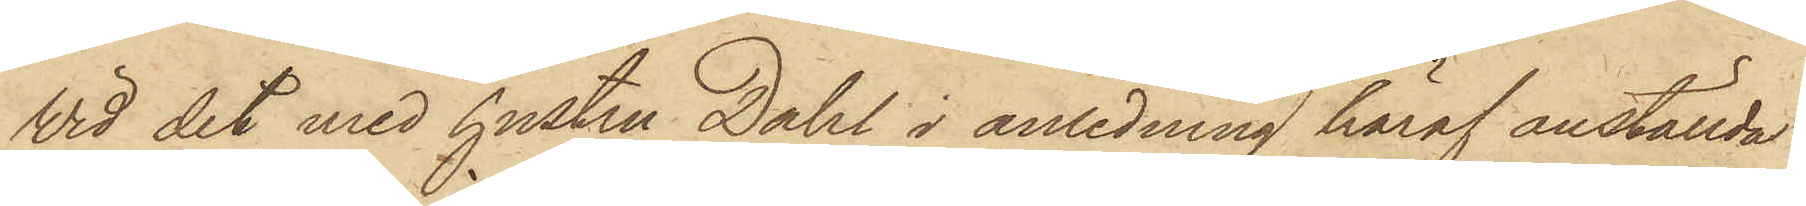Vid det med hustru Dahl i anledning häraf anställda
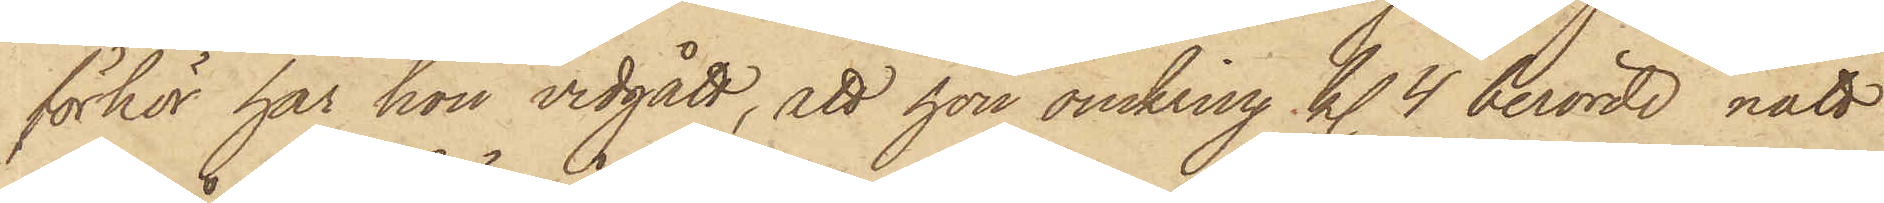förhör har hon vidgått, att hon omkring kl. 4 berörde natt
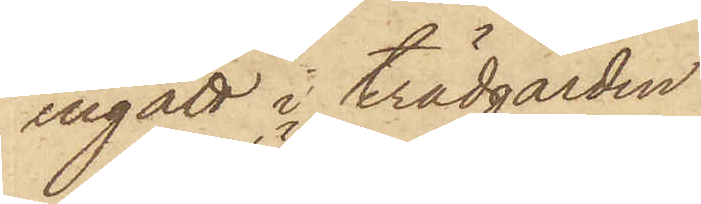ingått i trädgården
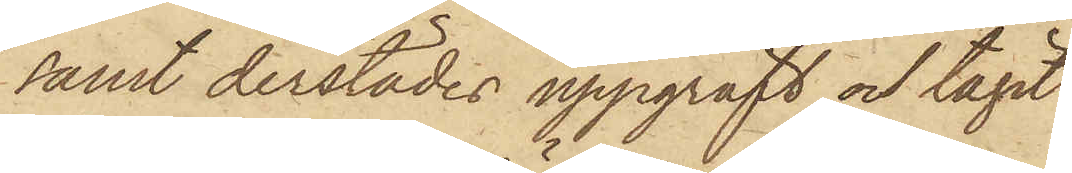samt derstädes uppgräft och tagit
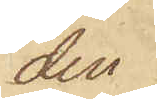den
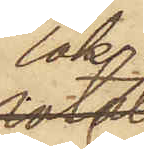lök
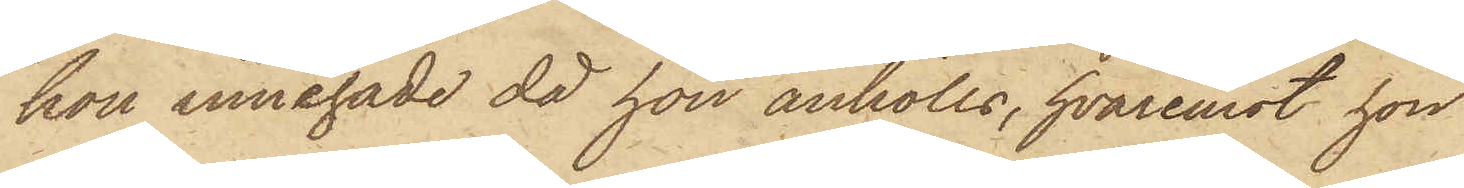hon innehade då hon anhölls, hvaremot hon
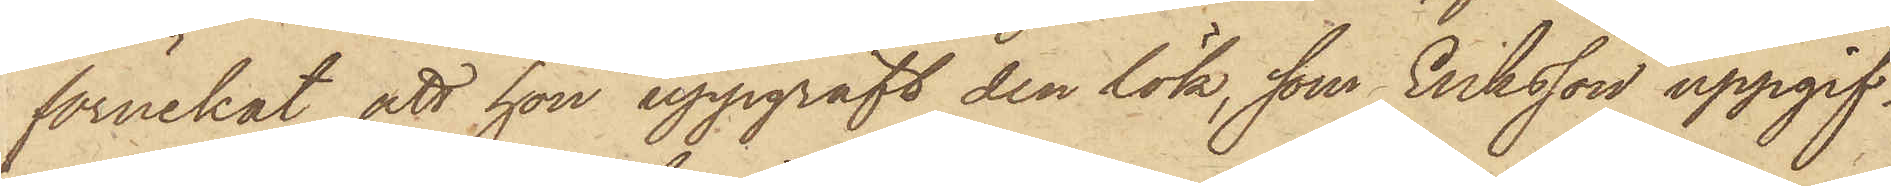förnekat att hon uppgräft den lök, som Eriksson uppgif¬
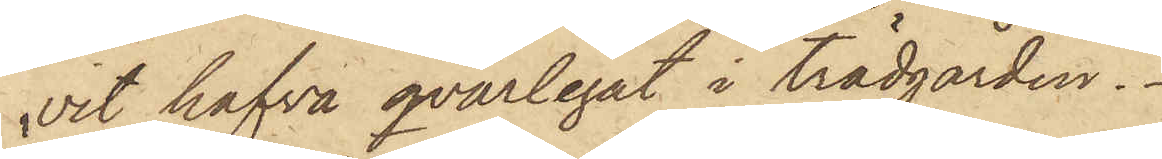vit hafva qvarlegat i trädgården.
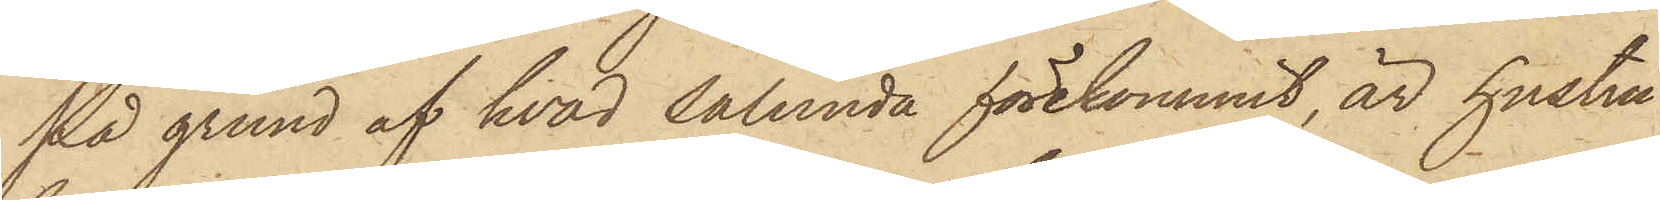På grund af hvad sålunda förekommit, är hustru
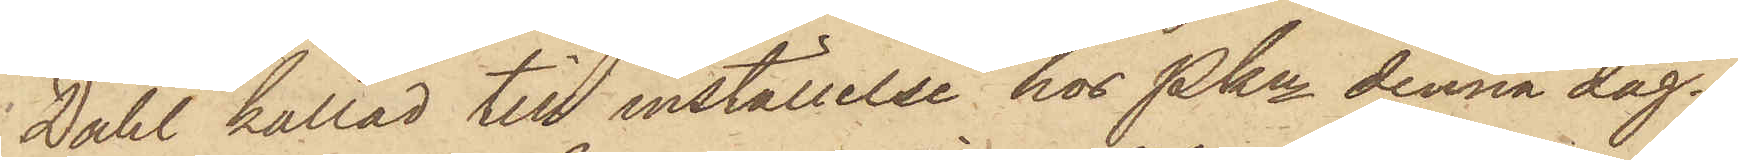Dahl kallad till inställelse hos Pkn denna dag.
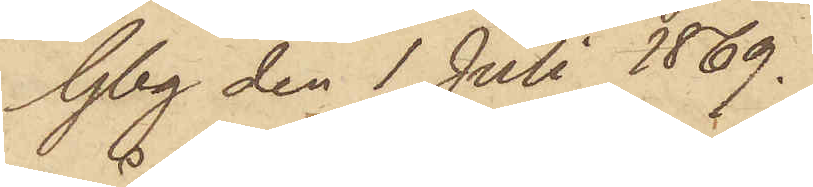Gbg den 1 Juli 1869.
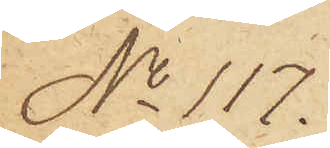No 117.
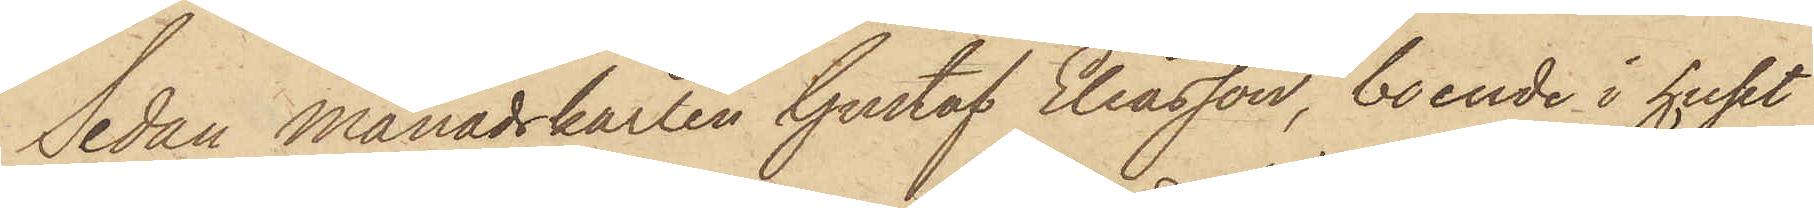Sedan Månadskarlen Gustaf Eliasson, boende i huset
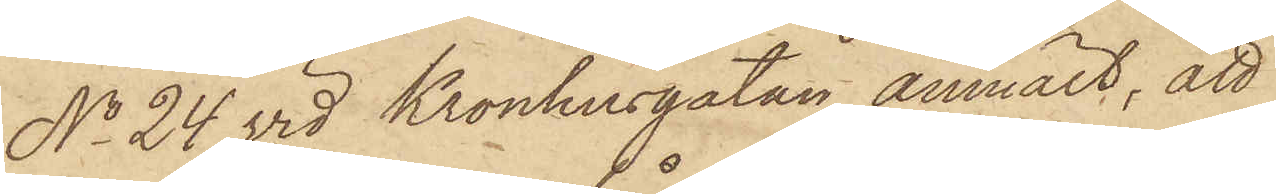No 24 vid Kronhusgatan anmält, att
